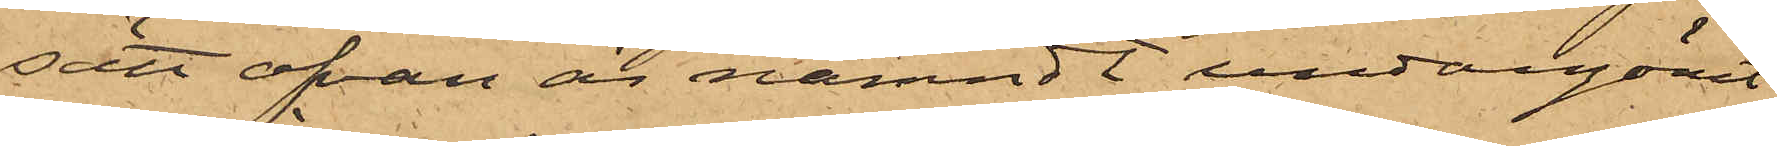sätt ofvan är nämndt undangömt
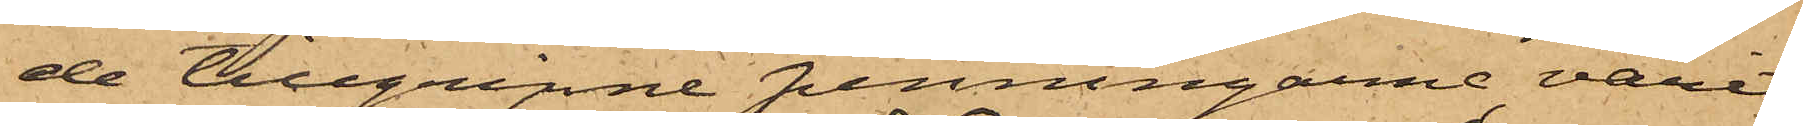de tillgripne penningarne varit
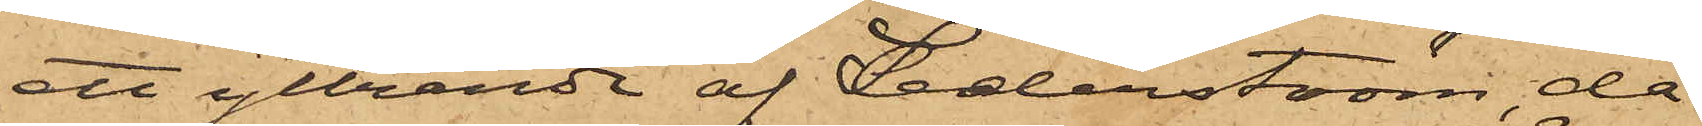ett yttrande af Sederström, då
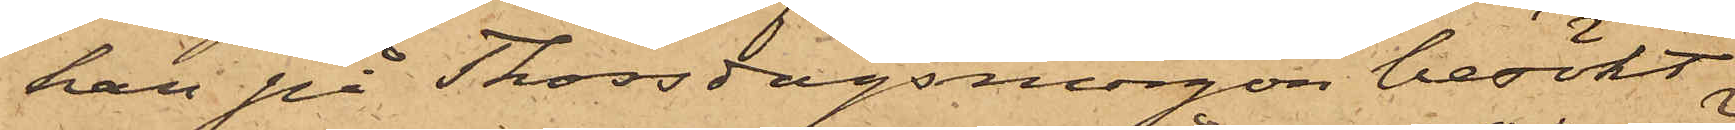han på Thorsdagsmorgon besökt
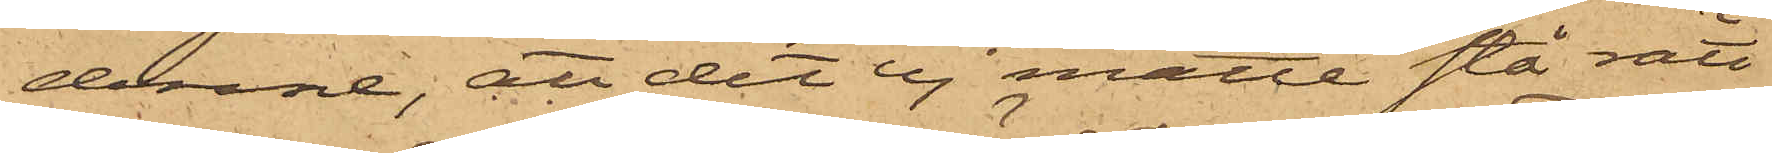denne; att det ej måtte stå rätt
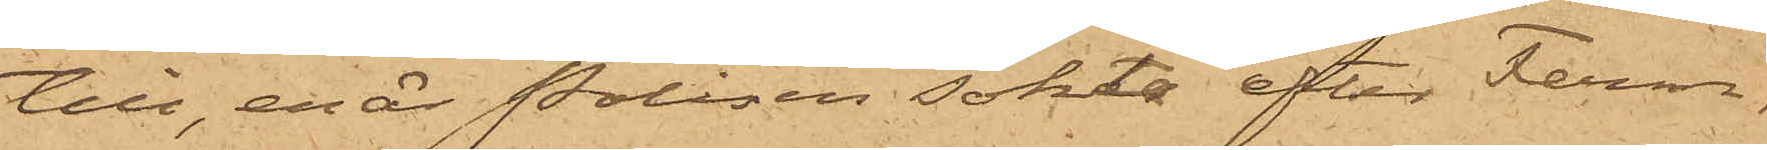till, enär Polisen sökte efter Ferm.
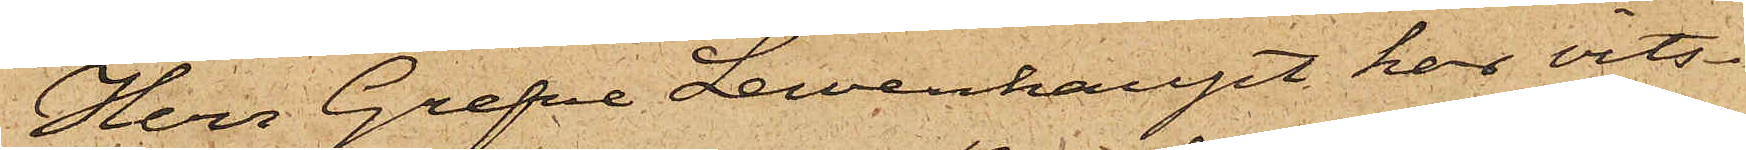Herr Grefve Lewenhaupt har vits¬
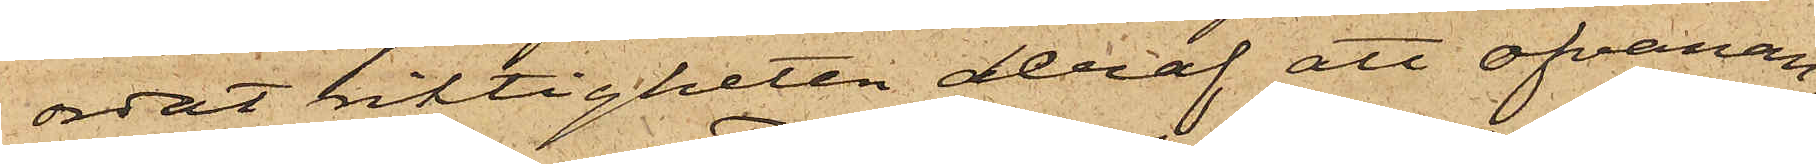ordat riktigheten deraf att ofvanan¬
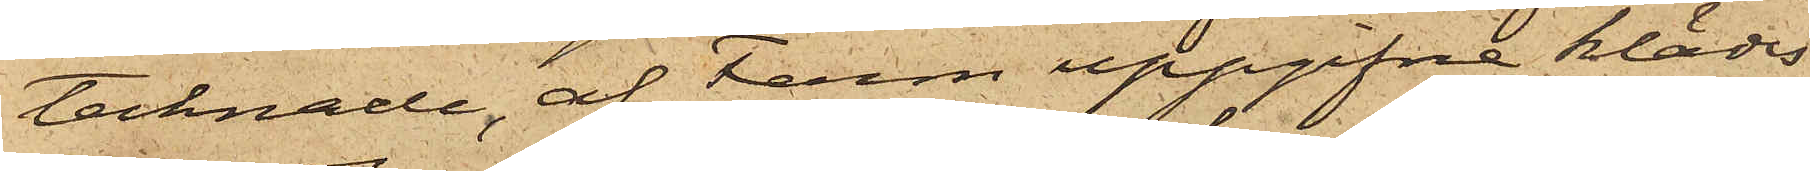tecknade, af Ferm uppgifna klädes¬
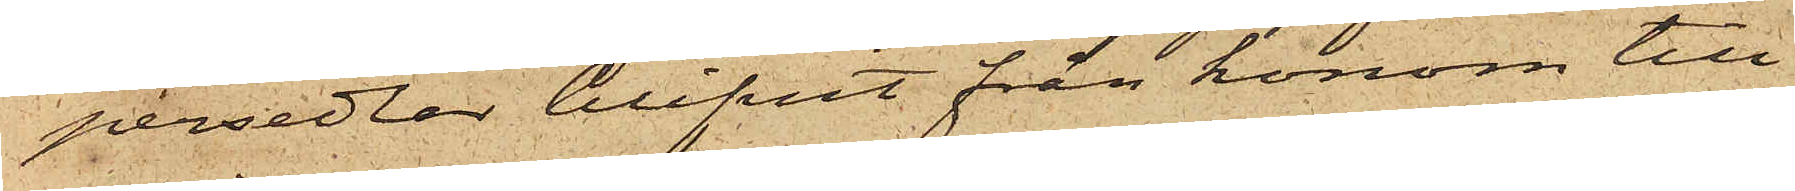persedlar blifvit från honom till¬
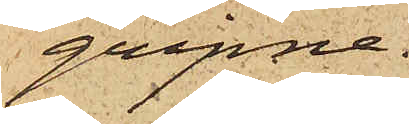gripne.
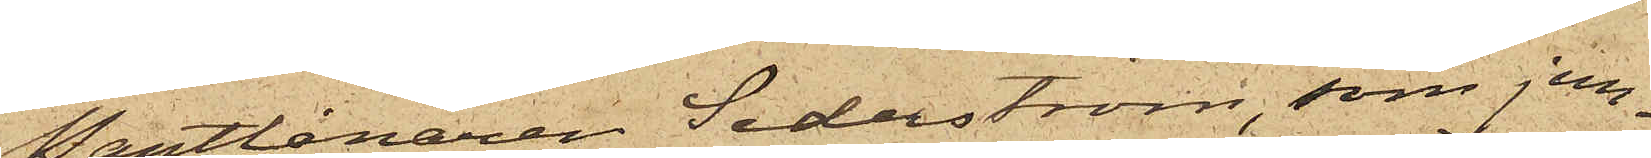Pantlånaren Sederström, som jem¬
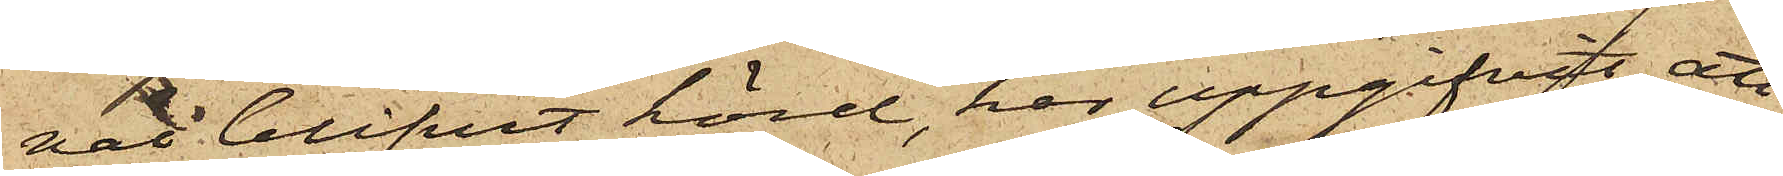väl blifvit hörd, har uppgifvit, att
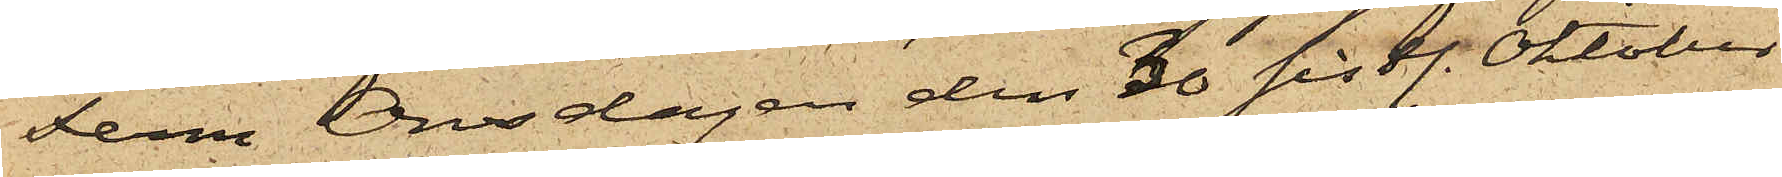Ferm Onsdagen den 30 sistl. Oktober
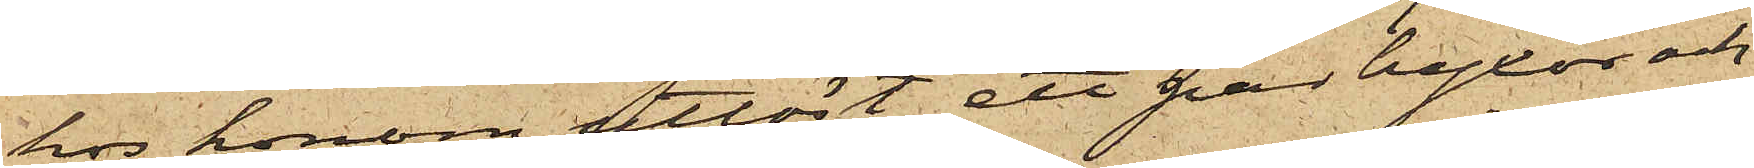hos honom utlöst ett par byxor och
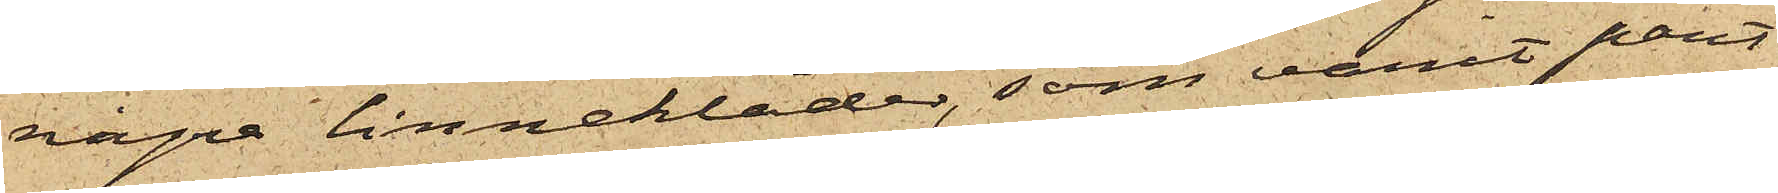några linnekläder, som varit pant¬
